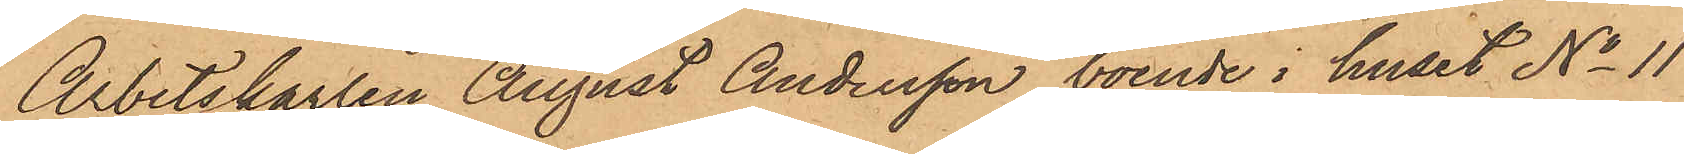Arbetskarlen August Andersson, boende i huset No 11
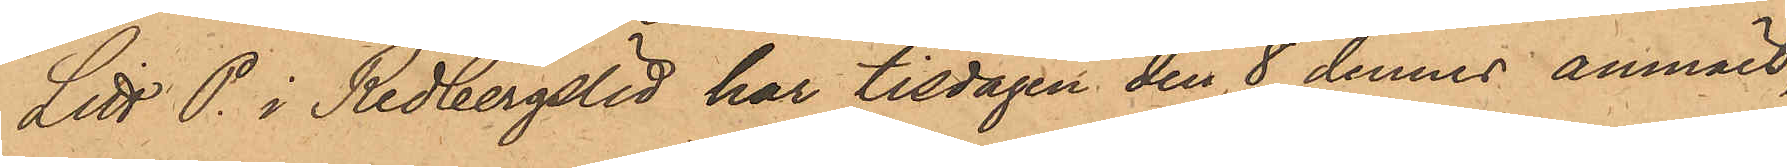Litt. P. i Redbergslid har tisdagen den 8 dennes anmält,
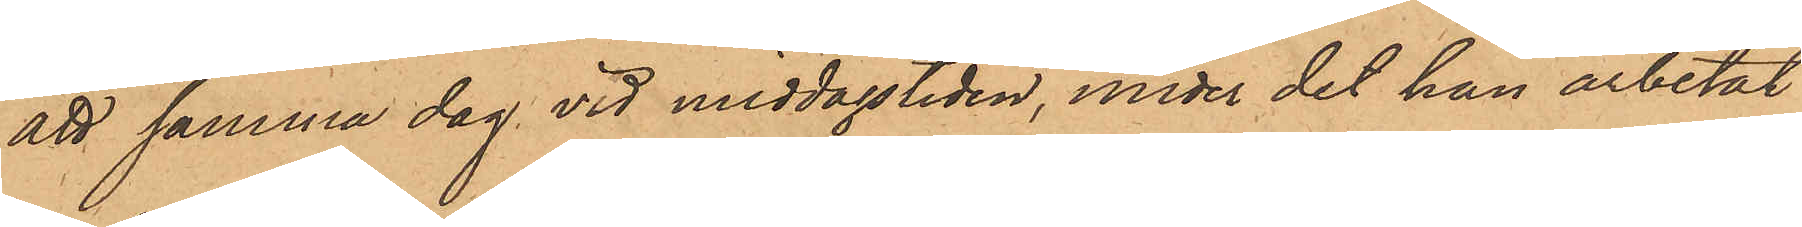att samma dag vid middagstiden, under det han arbetat
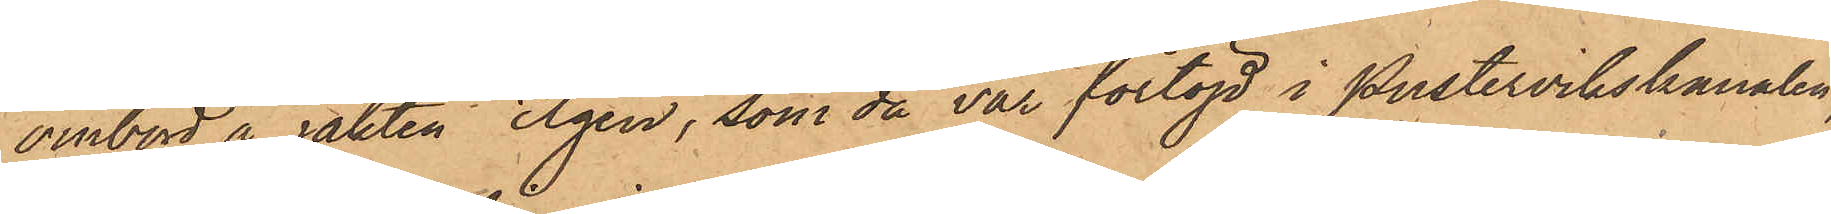ombord å jakten Elgen, som då var förtöjd i Pustervikskanalen,
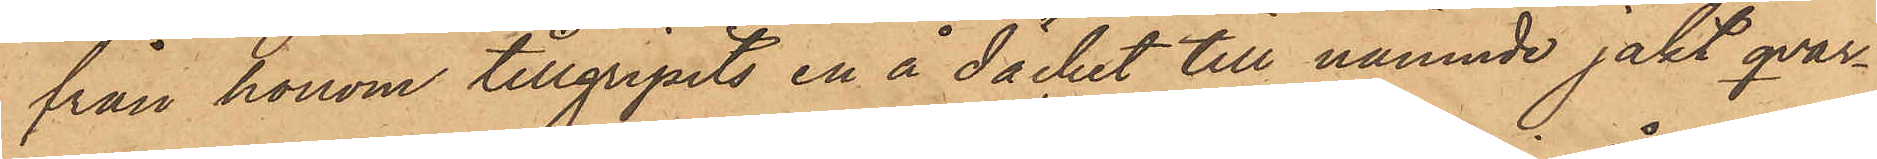från honom tillgripits en å däcket till nämnde jakt qvar¬
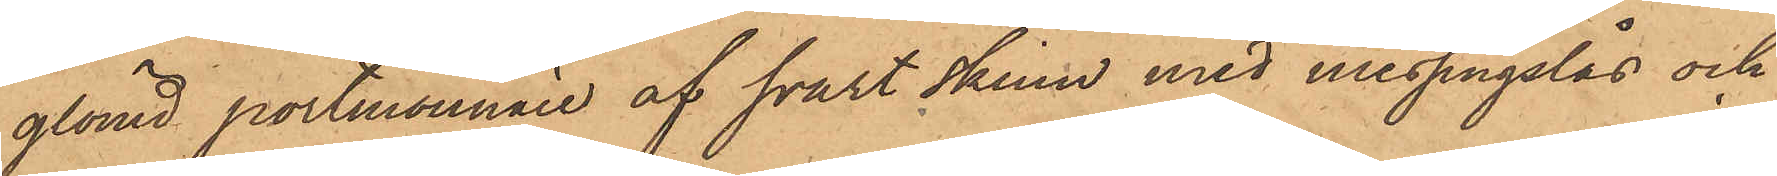glömd portmonnaie af svart skinn med messingslås och
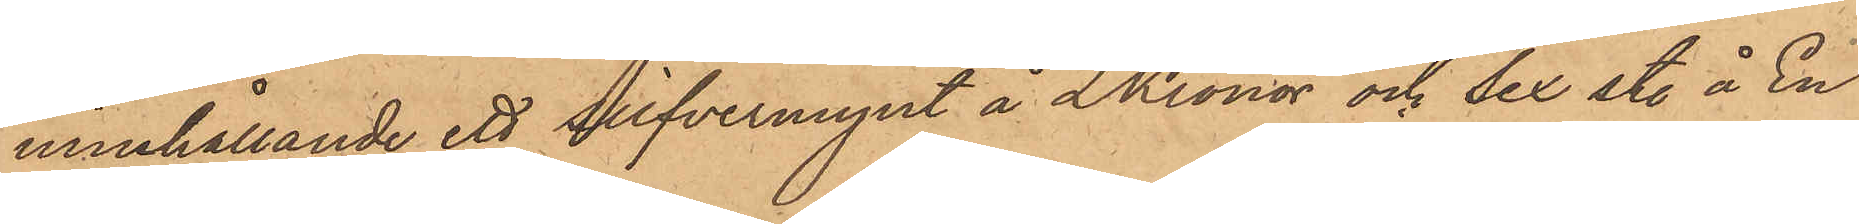innehållande ett silfvermynt å 2 Kronor och sex st. å En
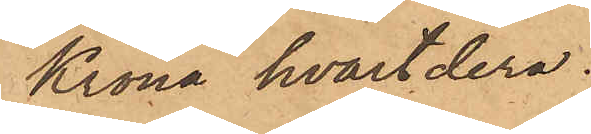Krona hvartdera.
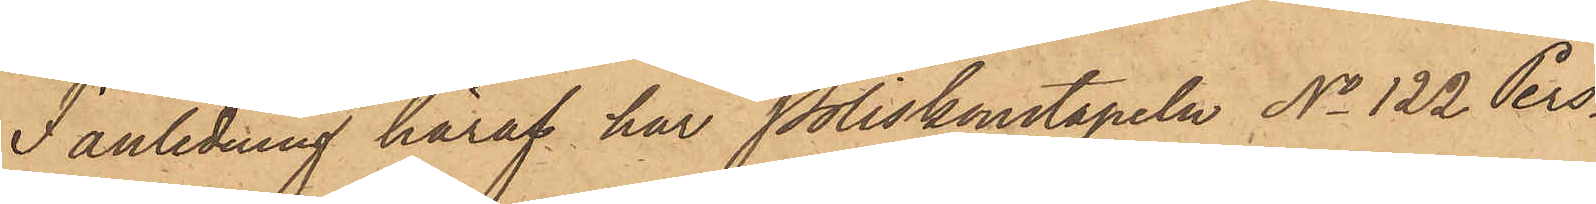I anledning häraf har Poliskonstapeln No 122 Pers¬
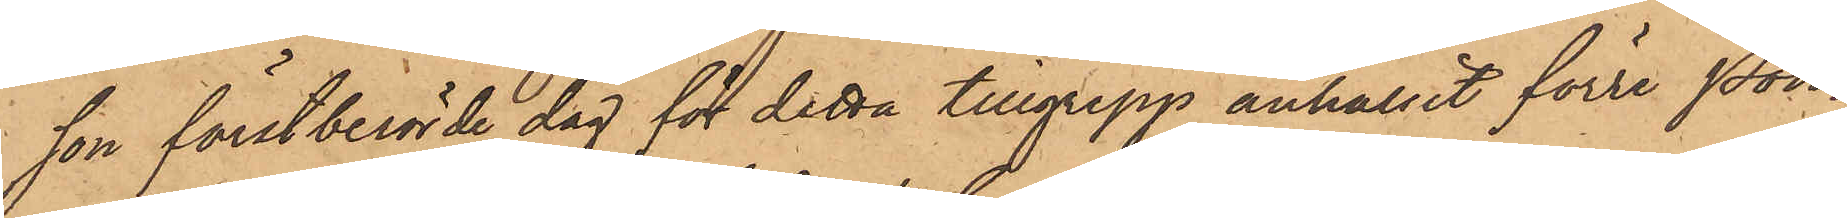son förstberörde dag för detta tillgrepp anhållit förre Pon¬
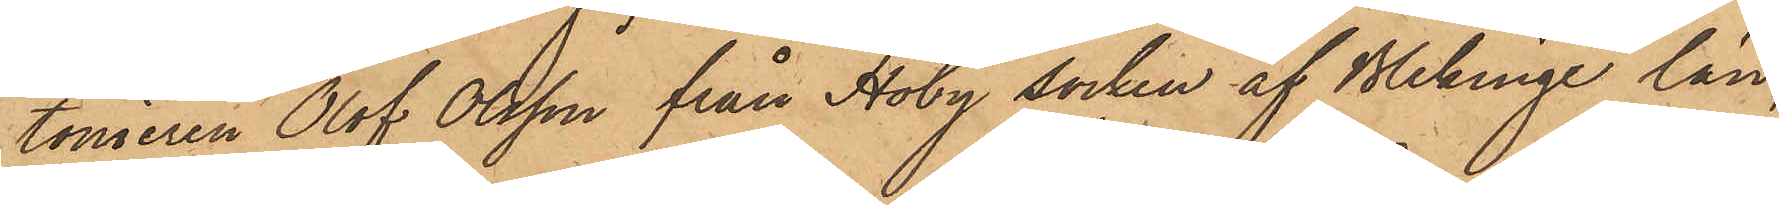toniren Olof Olsson från Hoby socken af Blekinge län,
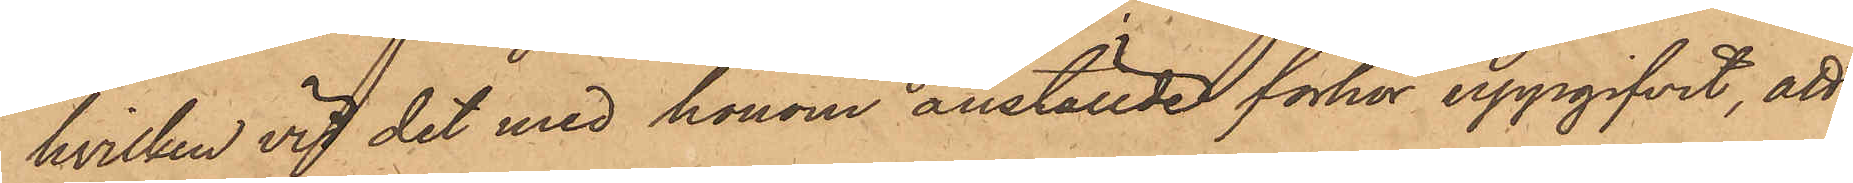hvilken vid det med honom anställde förhör uppgifvit, att
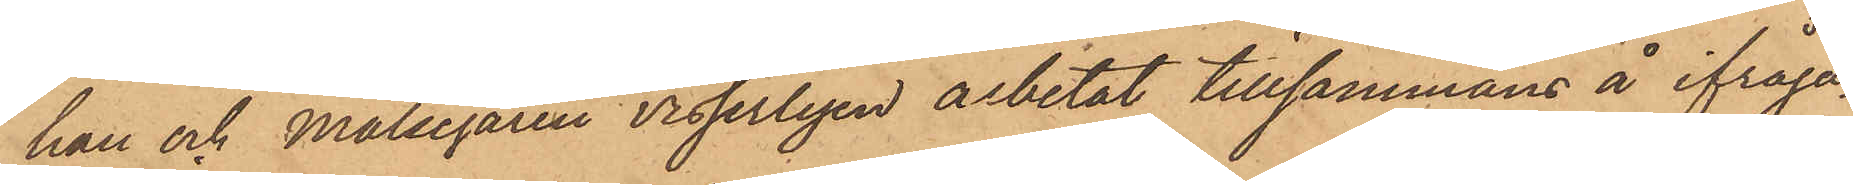han och Målsegaren visserligen arbetat tillsammans å ifråga¬
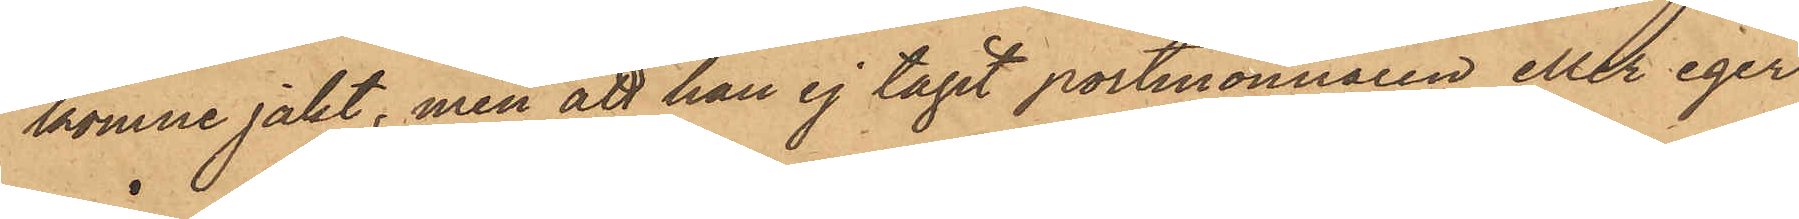komne jakt, men att han ej tagit portmonnaien eller eger
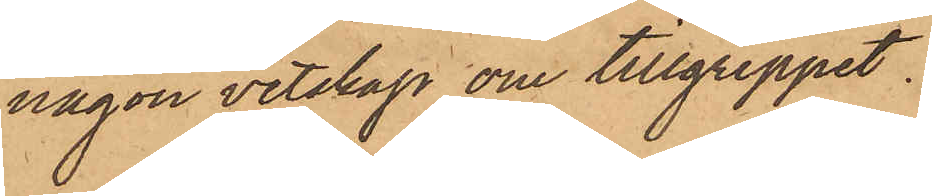någon vetskap om tillgreppet.
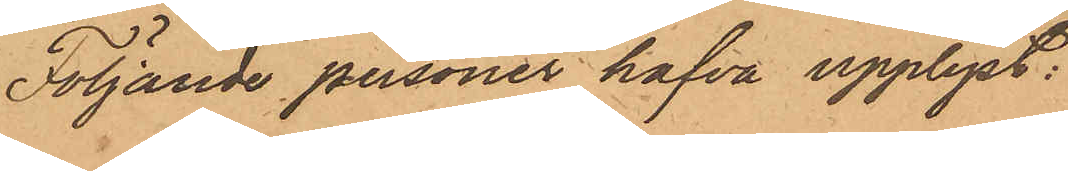Följande personer hafva upplyst:
